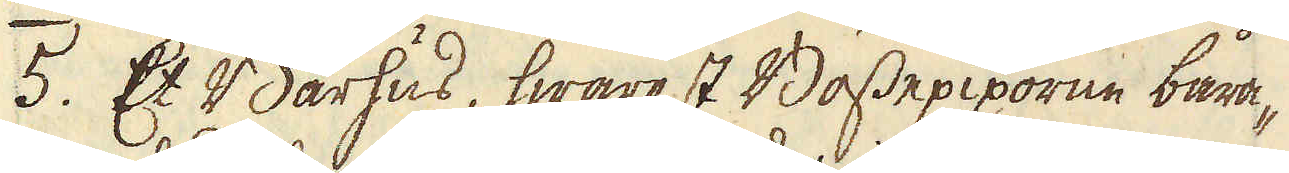5. Et Bårhus, hwarest Bössepiporne båra-
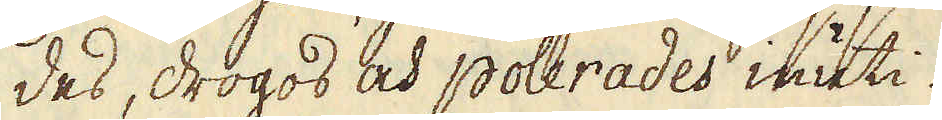des, drogos och polerades inuti.
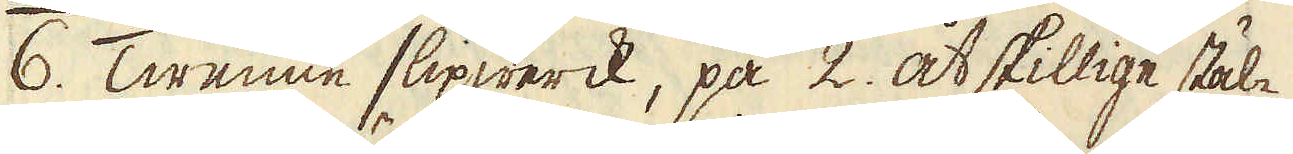6. Twenne slipwerck, på 2. åtskillige stäl-
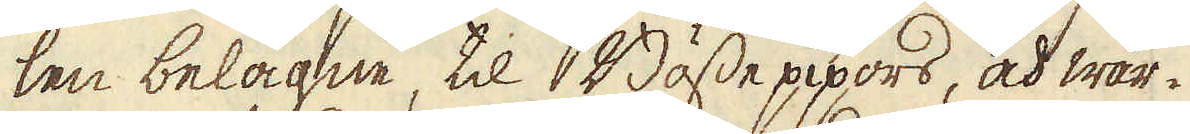len belägne, til Bössepipors, och wär-
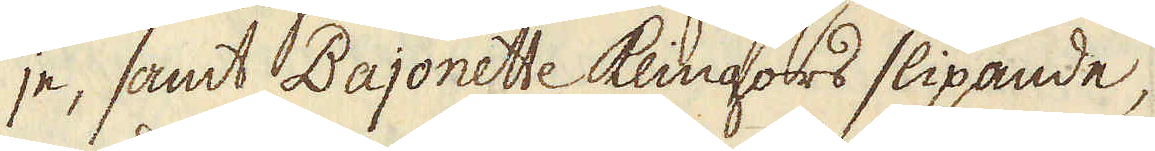je, samt Bajonette Klingors slipande,
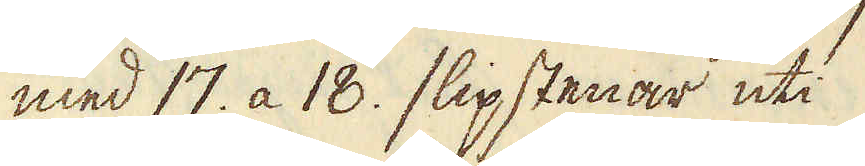med 17. a 18. slipstenar uti
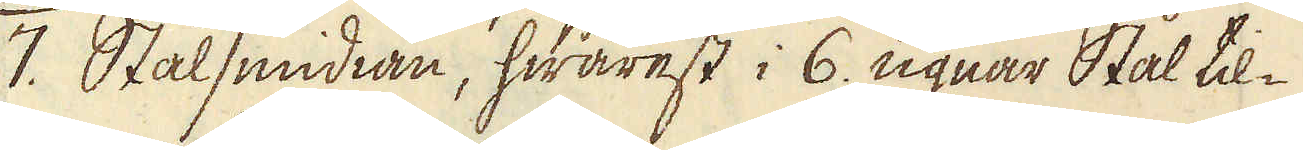7. Stålsmidian, hwarest i 6. ugnar Stål til-
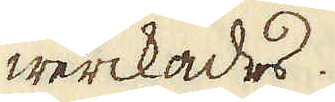werckades.
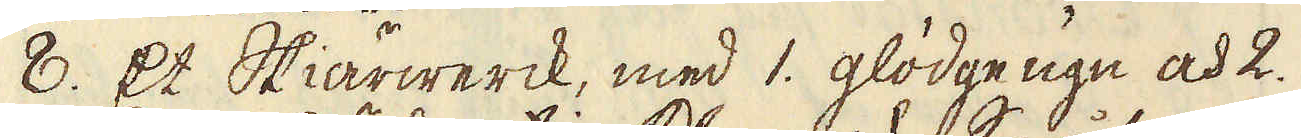8. Et Skiärwerck, med 1. glödge ugn och 2.
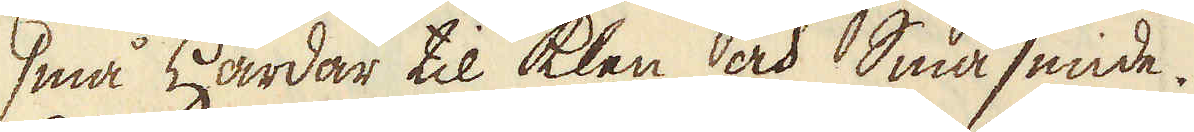små Härdar til klen och Småsmide.
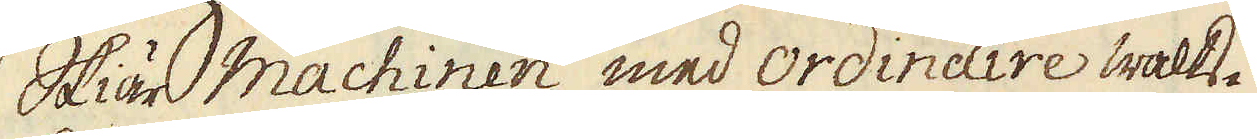Skär machinen med ordinaire walts-
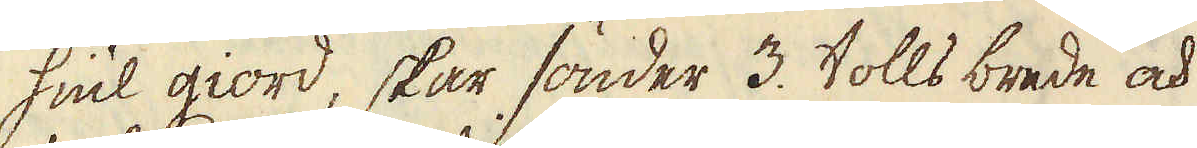hiul giord, skar sönder 3. tolls brede och
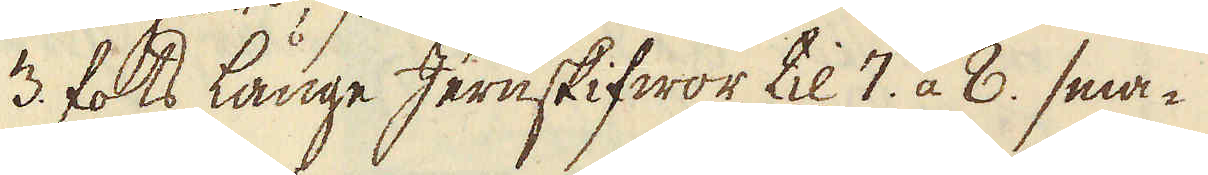3. fots långe Jernskifwor, til 7. a 8. sma-
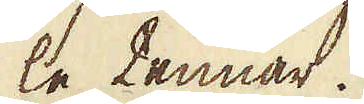le tennar.
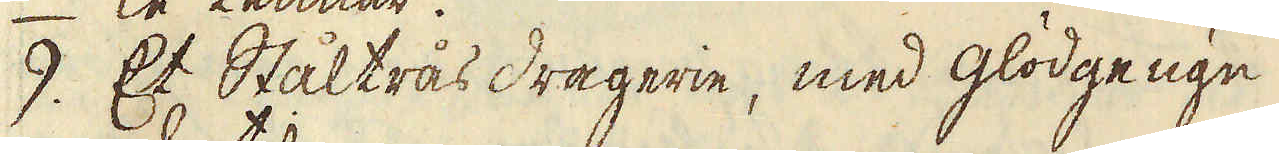9. Et Ståltrås dragerie, med glödgeugn
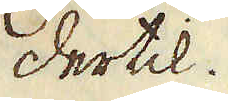dertil.
